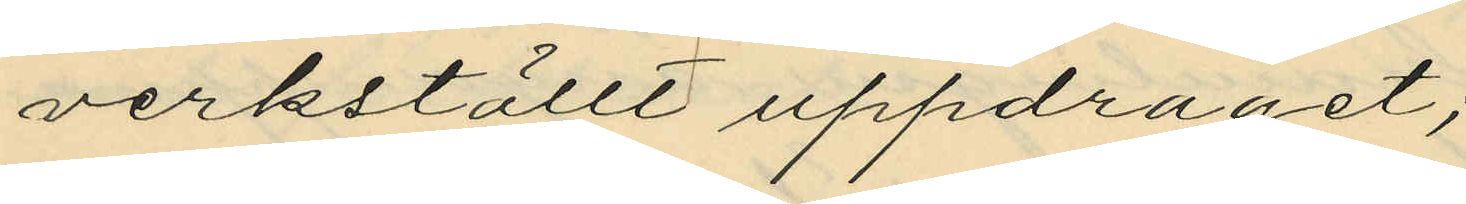verkställt uppdraget;
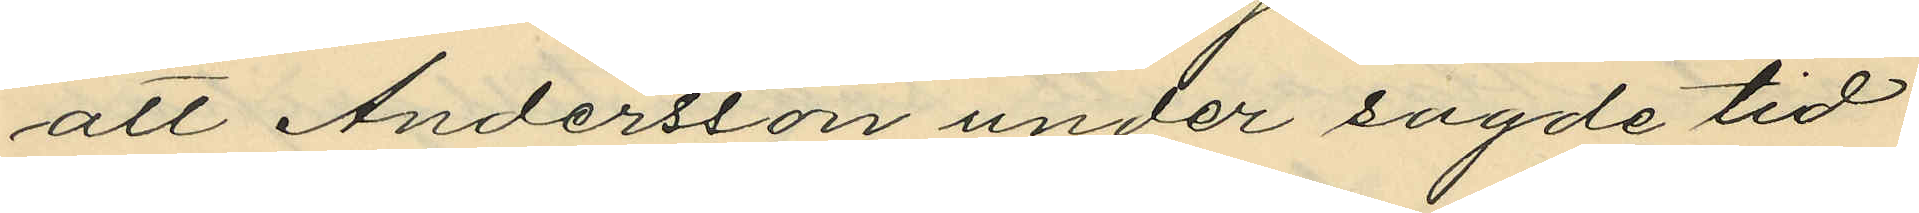att Andersson under sagde tid
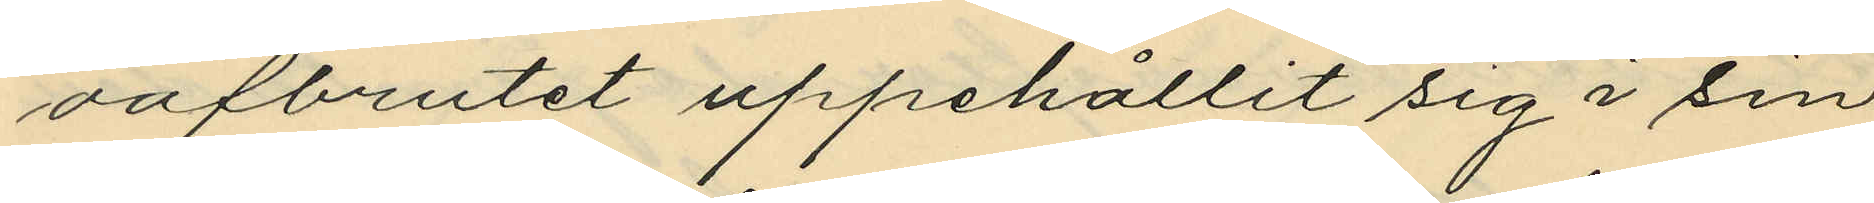oafbrutet uppehållit sig i sin
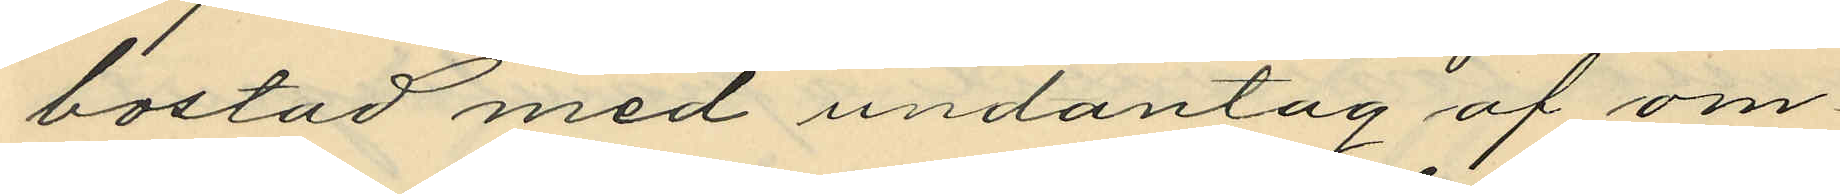bostad med undantag af om¬
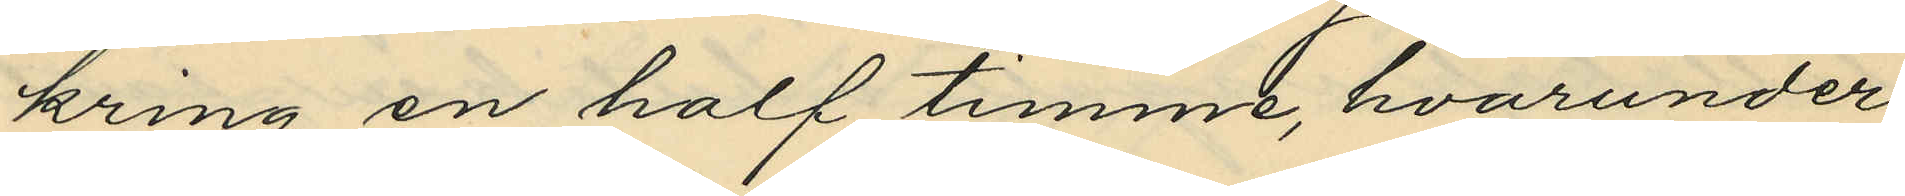kring en half timme, hvarunder
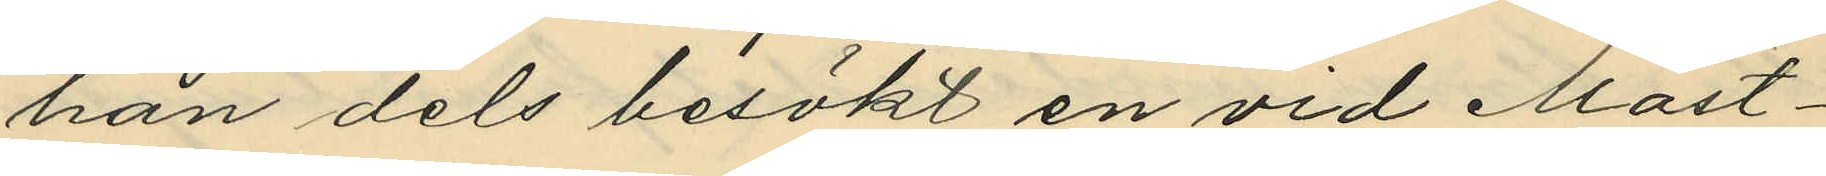han dels besökt en vid Mast¬
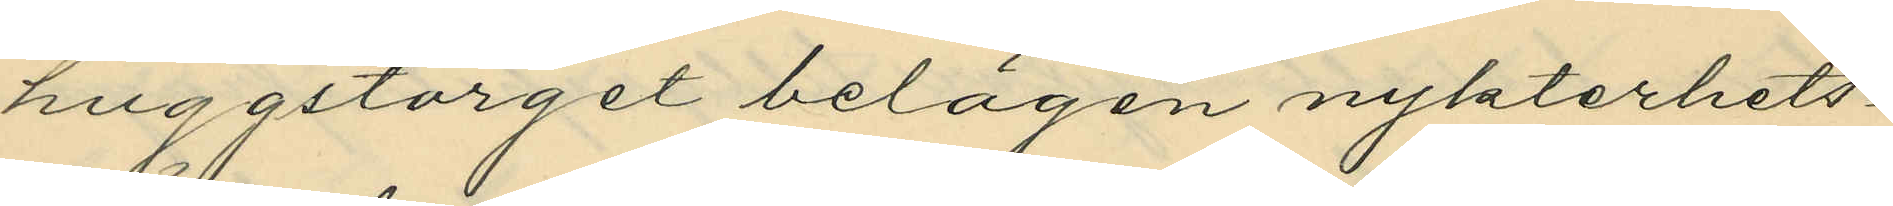huggstorget belägen nykterhets¬
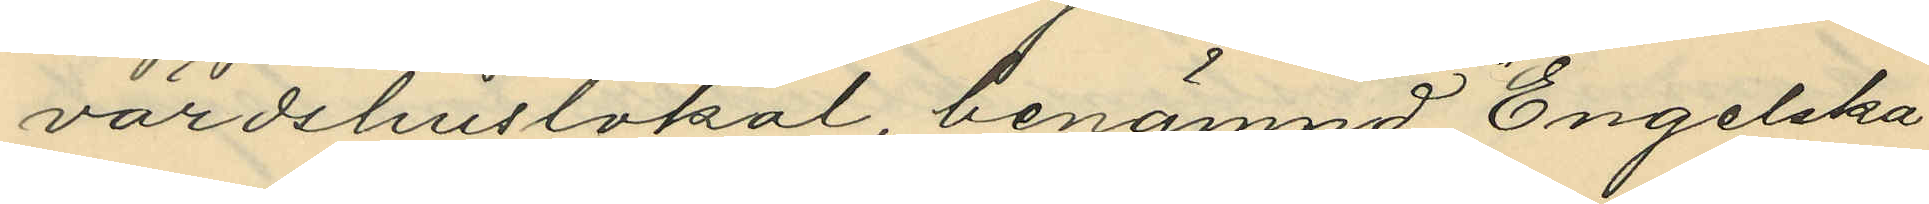värdshuslokal, benämnd "Engelska
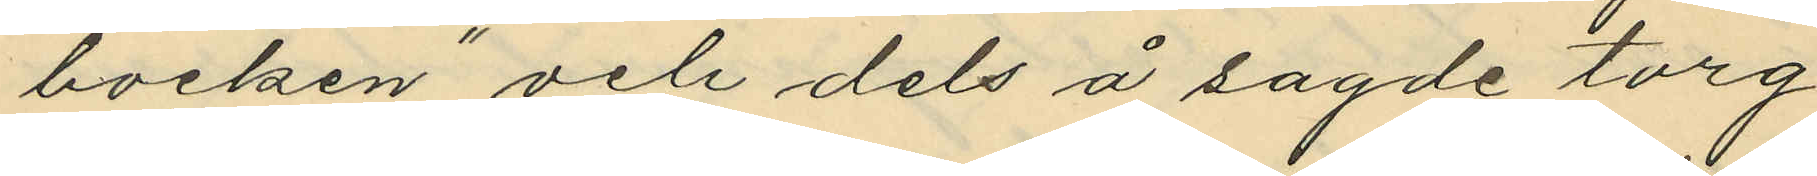bocken" och dels å sagde torg
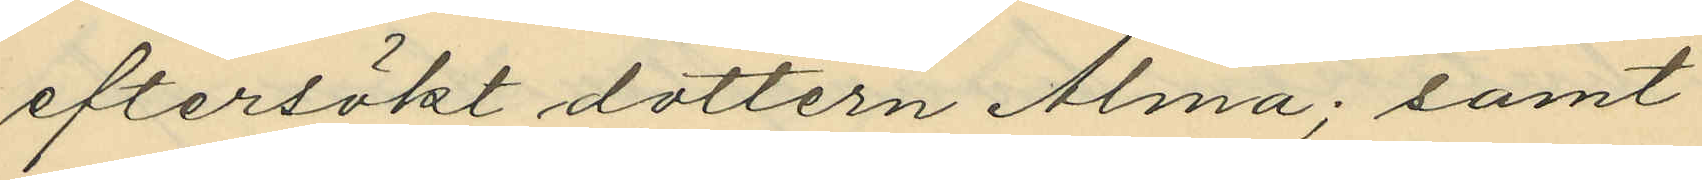eftersökt dottern Alma; samt
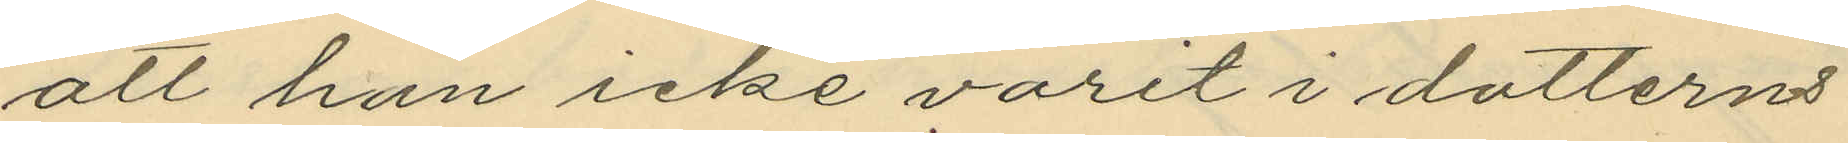att han icke varit i dotterns
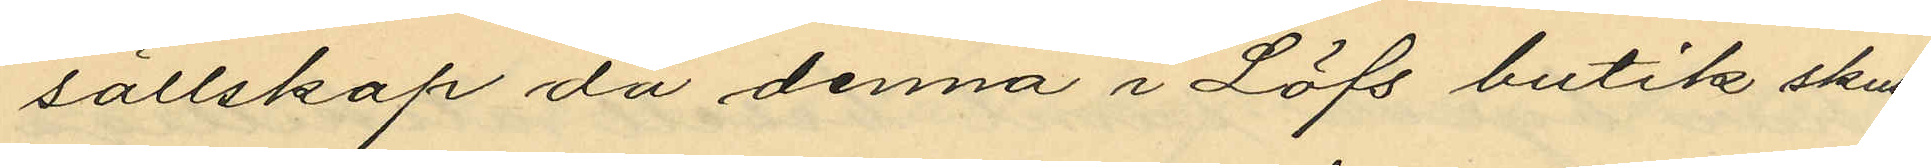sällskap då denna i Löfs butik skul¬
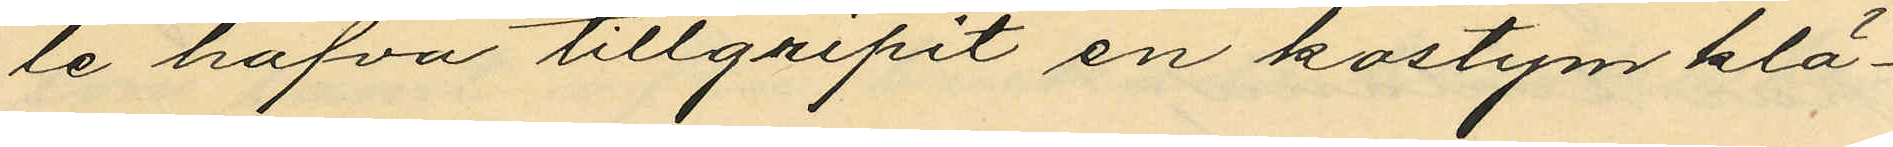le hafva tillgripit en kostym klä¬
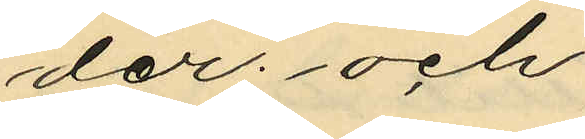der; och
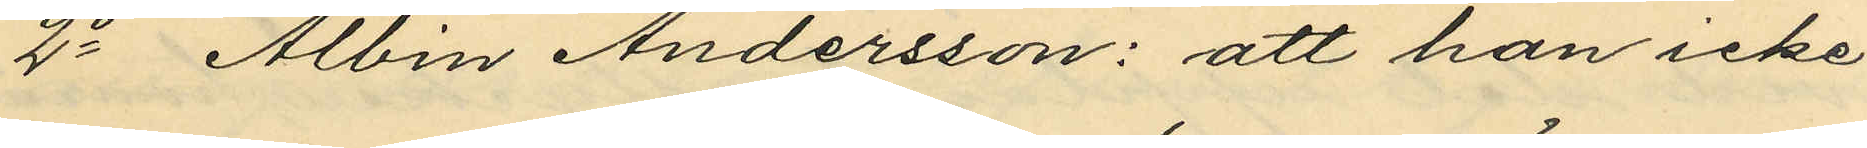2o Albin Andersson: att han icke
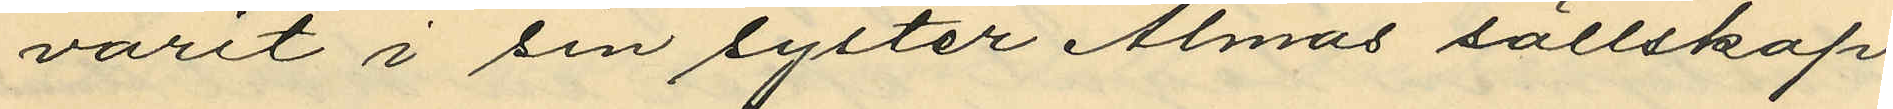varit i sin syster Almas sällskap
